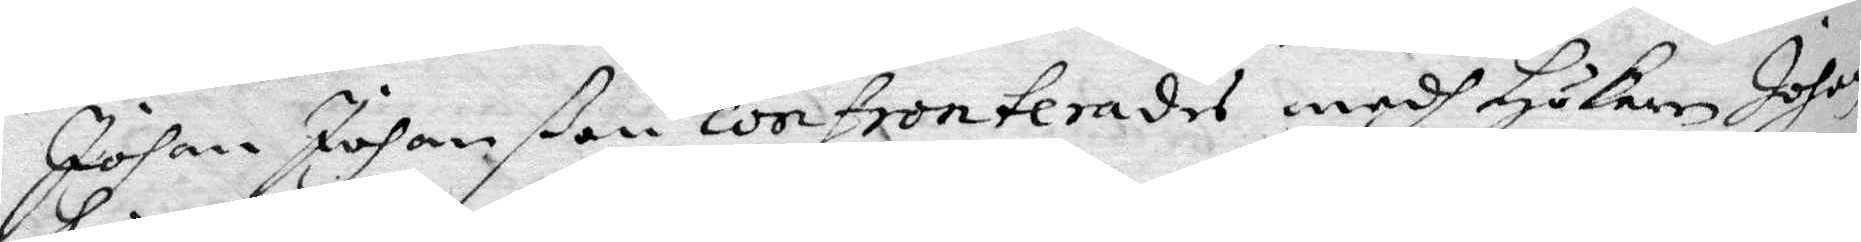Johan Johanßon confronteradesmedh Hökaren Johan
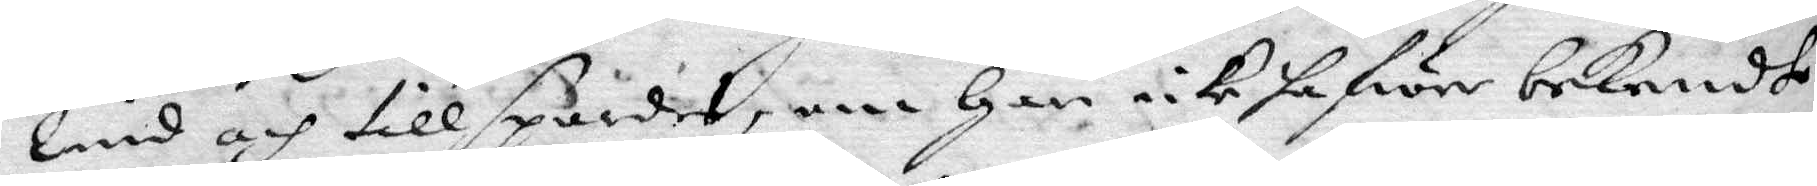Lind och tillspordes, om han icke hafwer bekendt
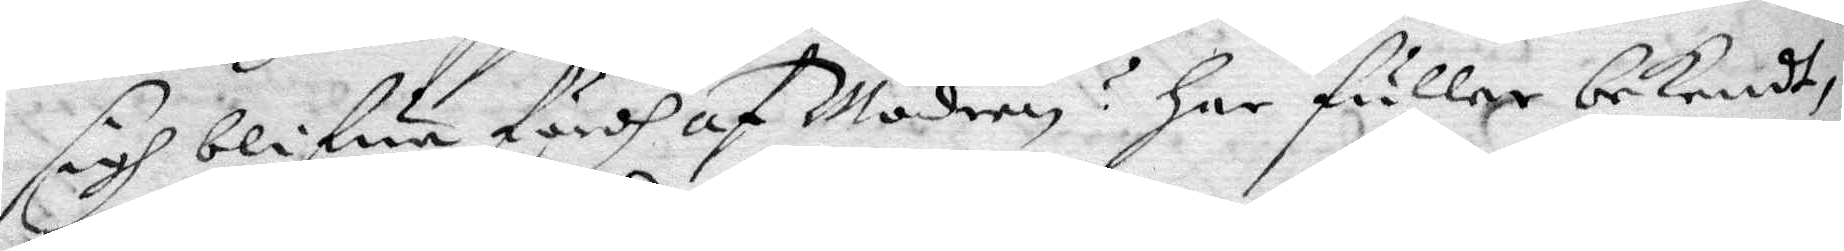sigh blifwa fördh af Modren? har fuller bekendt
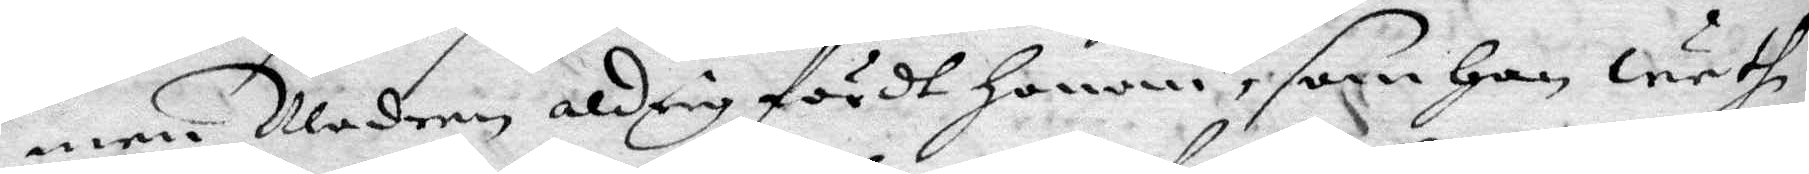men Modren aldrig fördt honom, som han weth
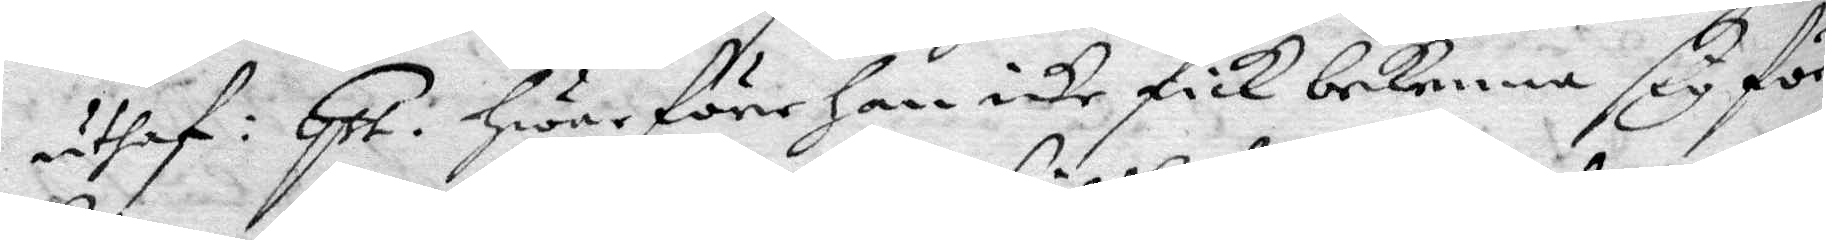uthaf: Qst. hwar öre han icke fick bekenna sig för
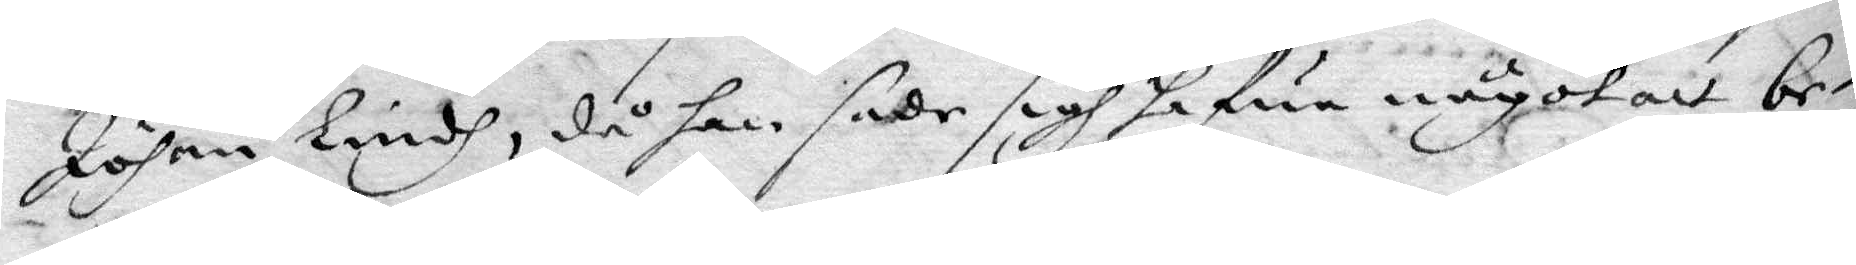Johan Lindh, då han sade sigh hafua något att be¬
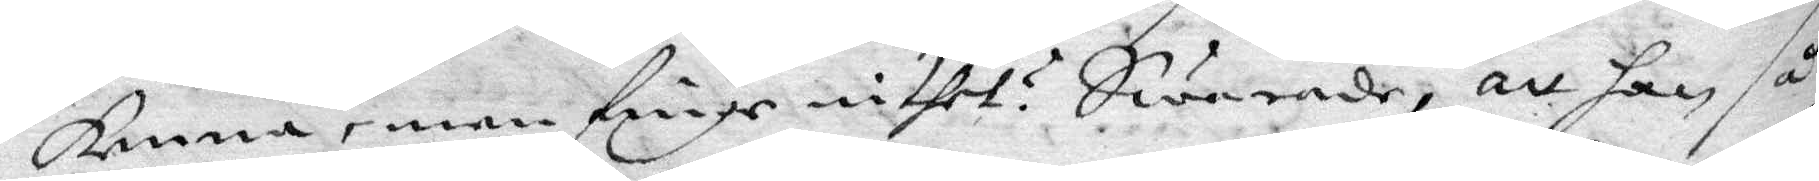kenna, men finge inthet? Swarade, att han så
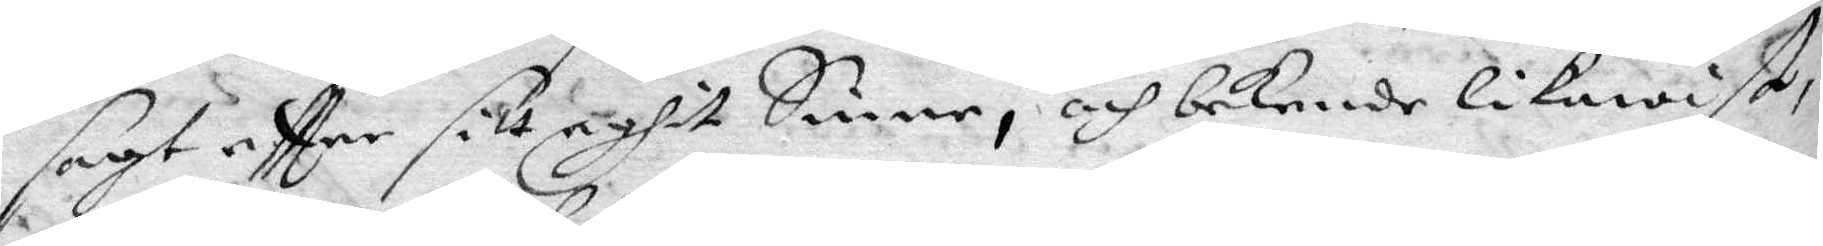sagt eftter sitt eghit Sinne, och bekende likawist,
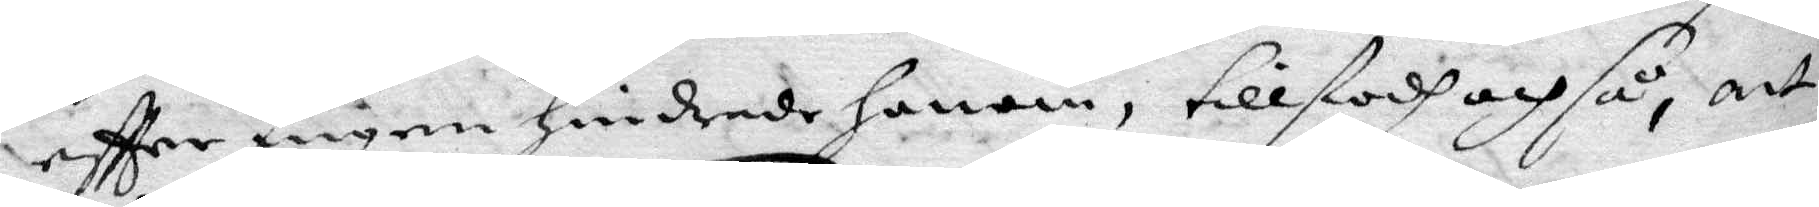eftter ingen hindrade honom, tillstodh och så, att
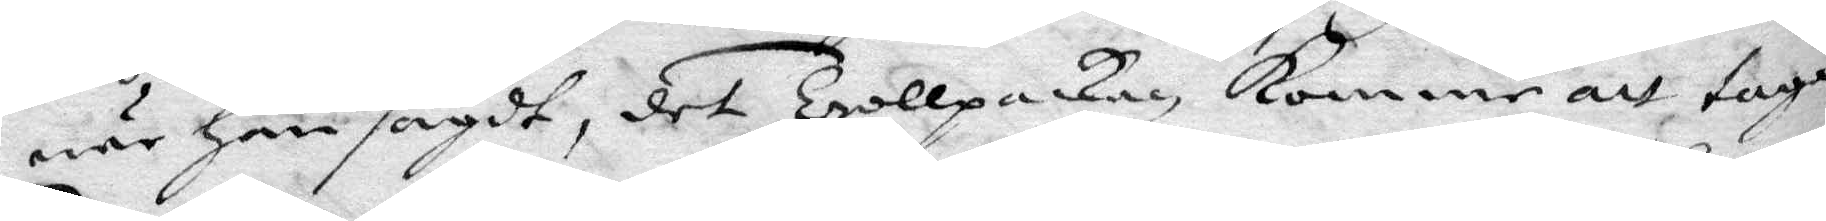när han sagdt, det Trollpackan kommer att taga
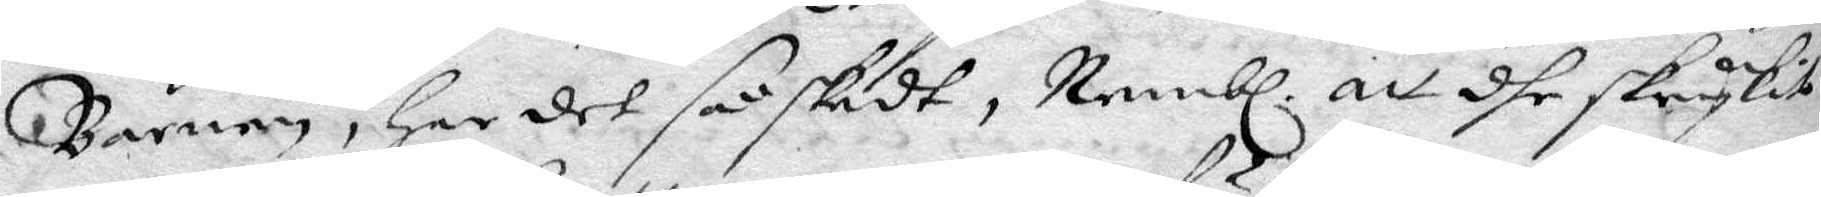Barnen, har det så skedt, Nembl. att dhe skrykit
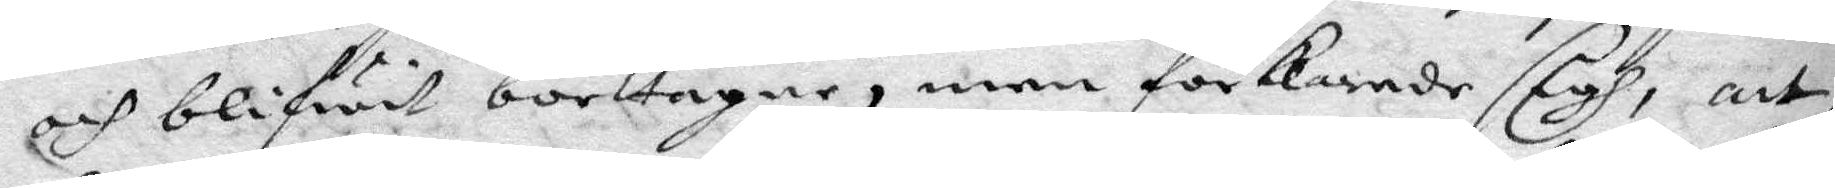och blifwit borttagne, men förkende sigh, att
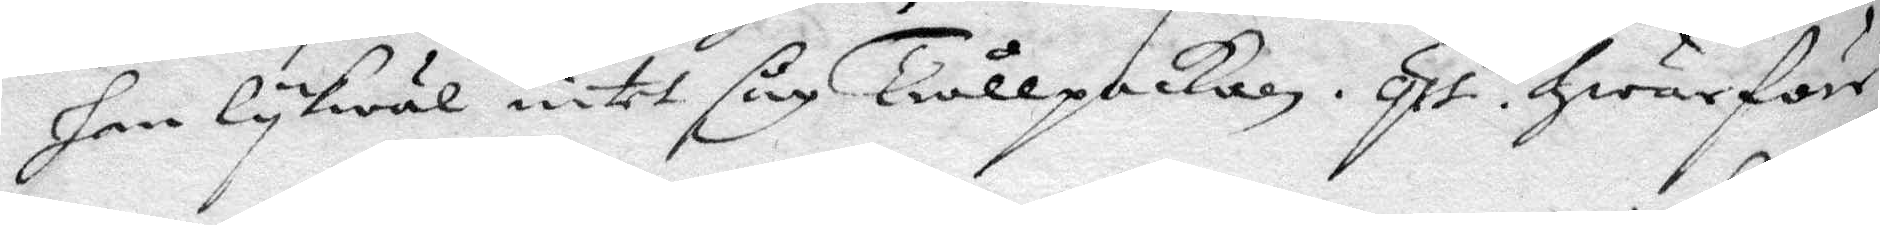han lykwäl intet såg Trållpackan. Qst. hwarföre
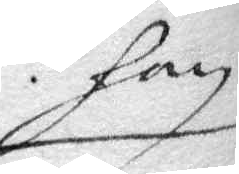han
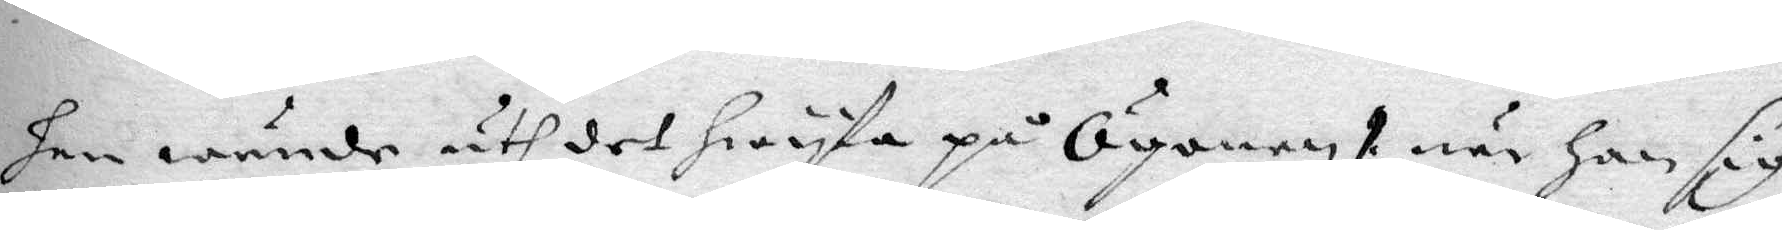han wände uth det hwyta på Ögonen när han sig
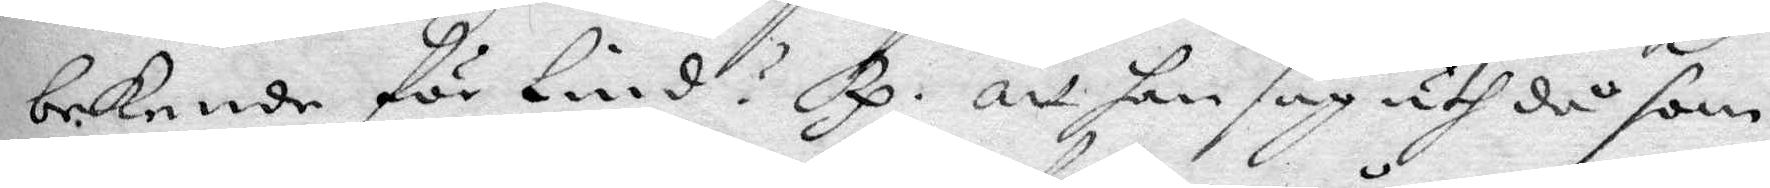bekende för Lind? Rp. att han såg uth då som
